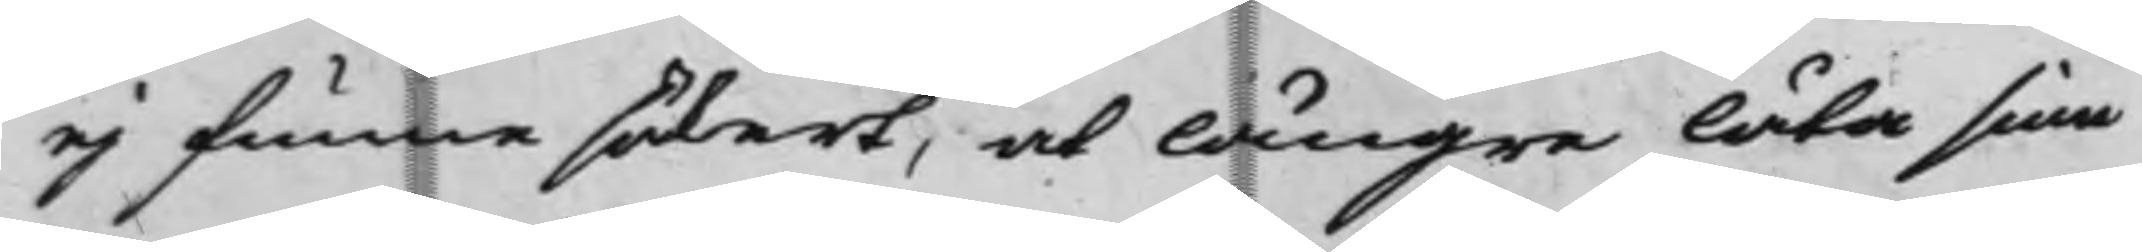ej funne säkert, at lä<<ngre låta sine
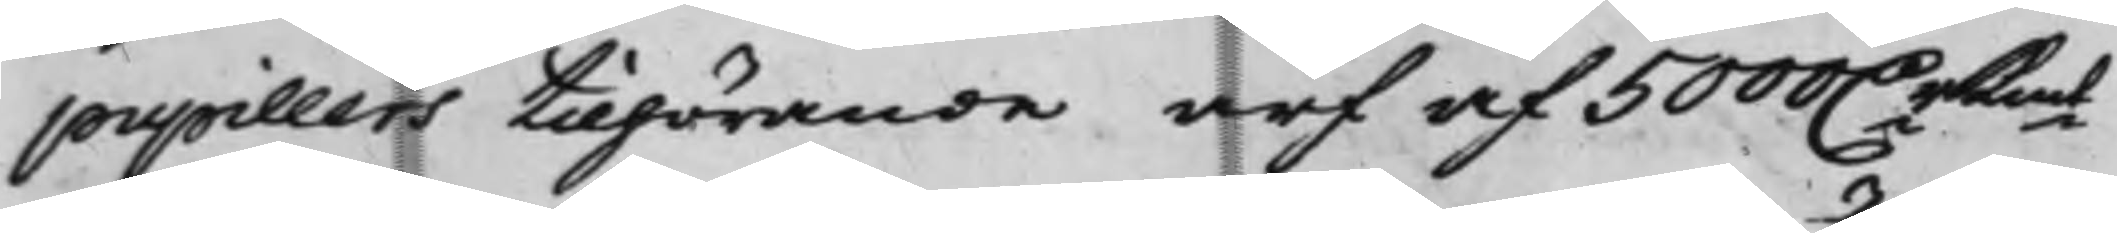pupillers tilhörande arf af 5000 D.r Kmt
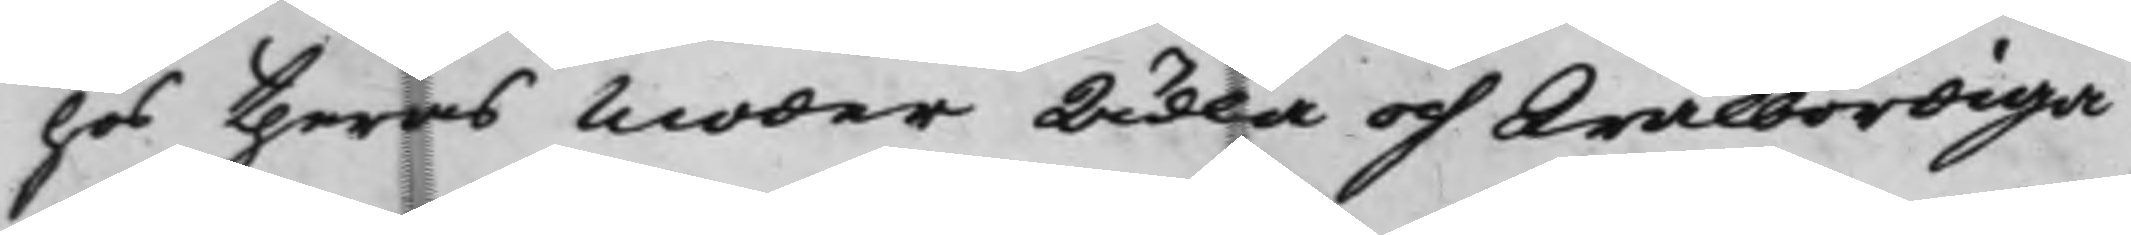hos theras Moder Ädla och Wälbördiga
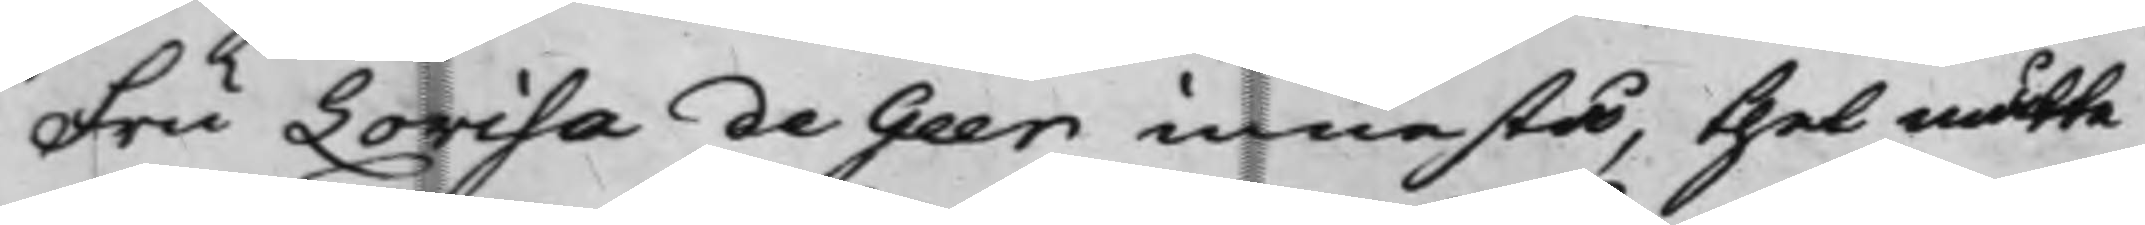Fru Lovisa de Geer innestå, thet måtte
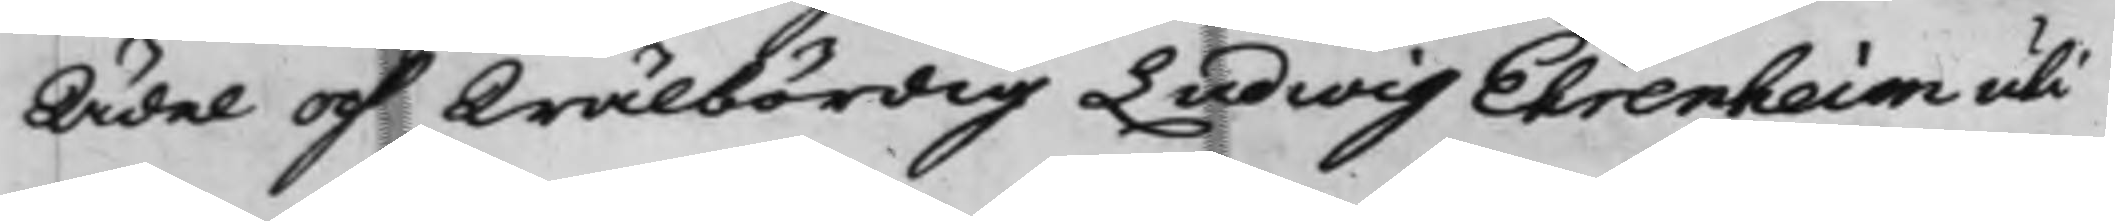Ädel och Wälbördig Ludwig Ehrenheim uti
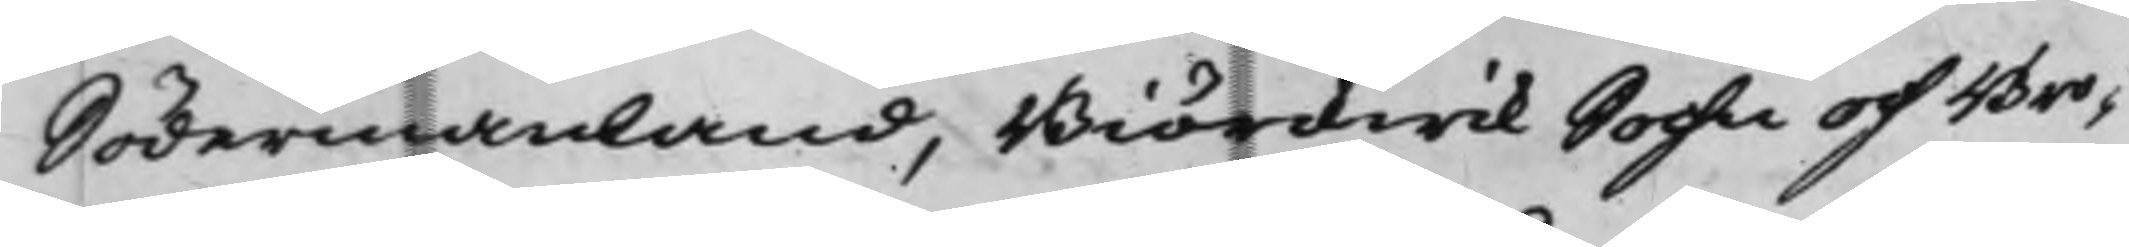Södermanland, Biörckwik Sochn och Bro¬
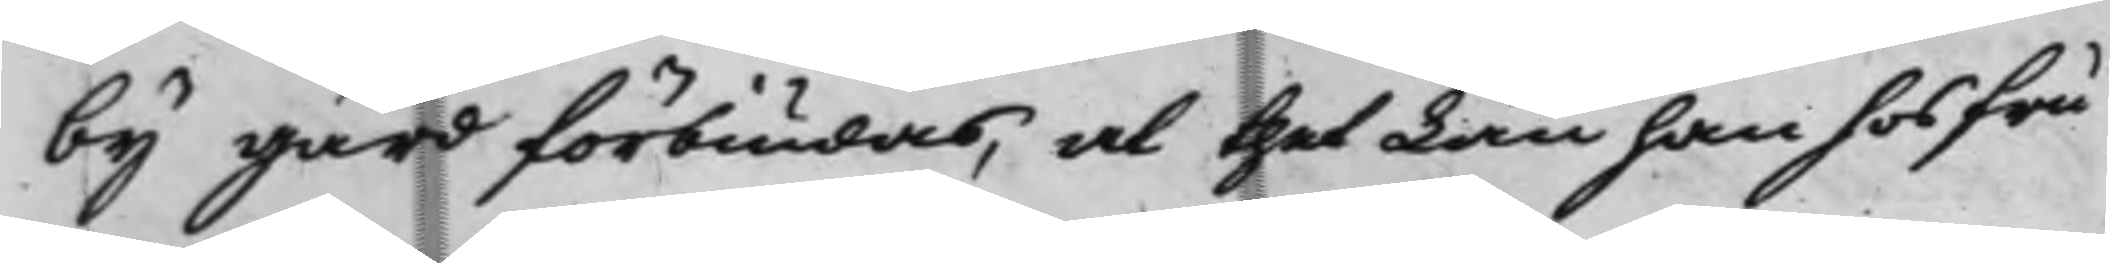by Gård förbiudas, at thet Lån han hos fru
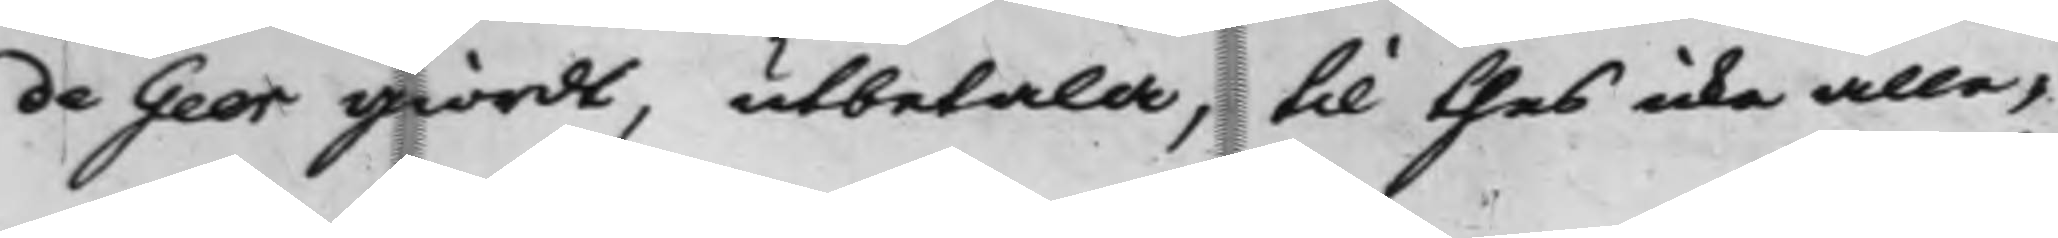de Geer giordt, utbetala, till thes icke alle¬
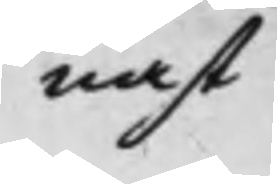nast
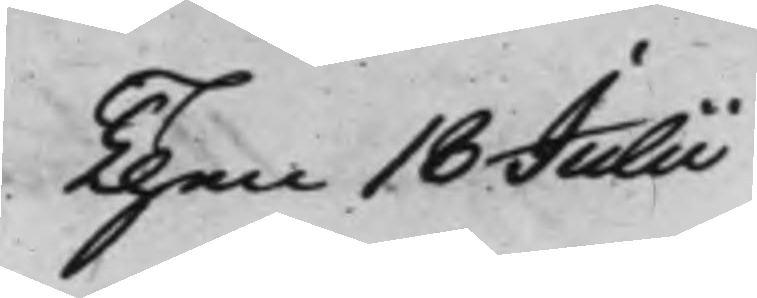Then 18 Julii
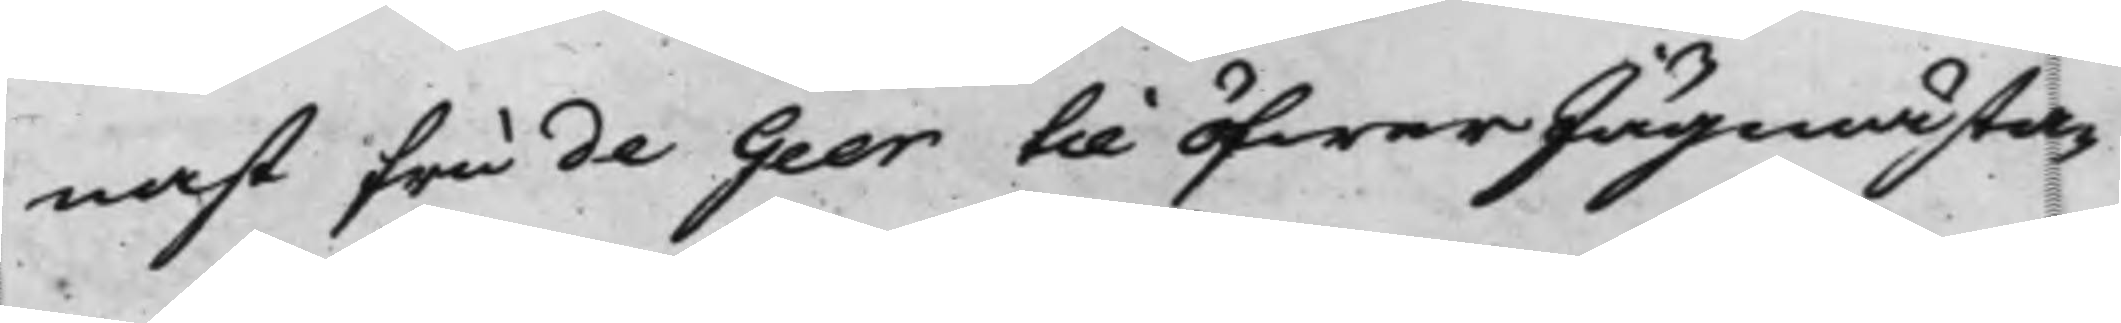nast Fru de Geer till öfwerJägmästa¬
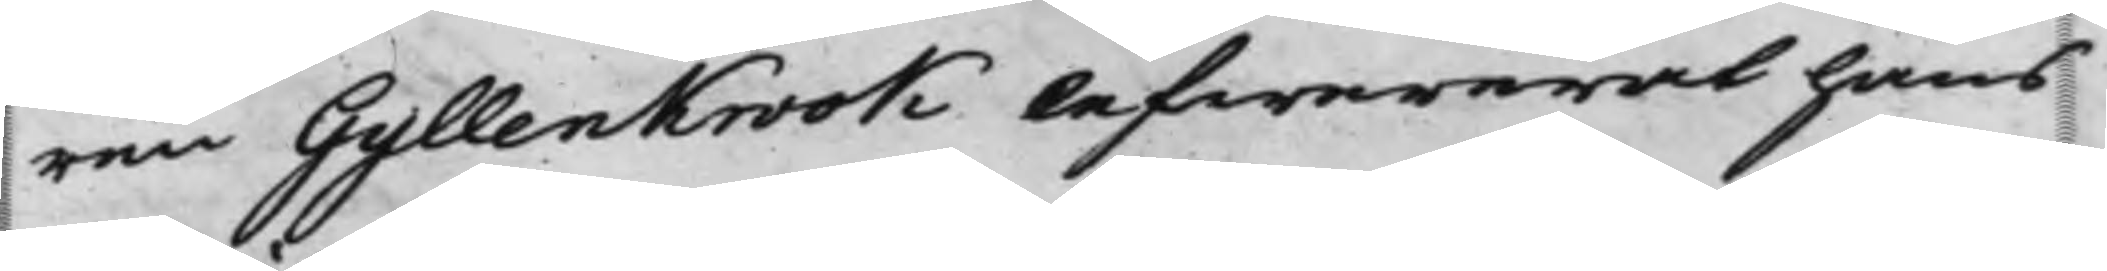ren Gyllenkrook lefwererat hans
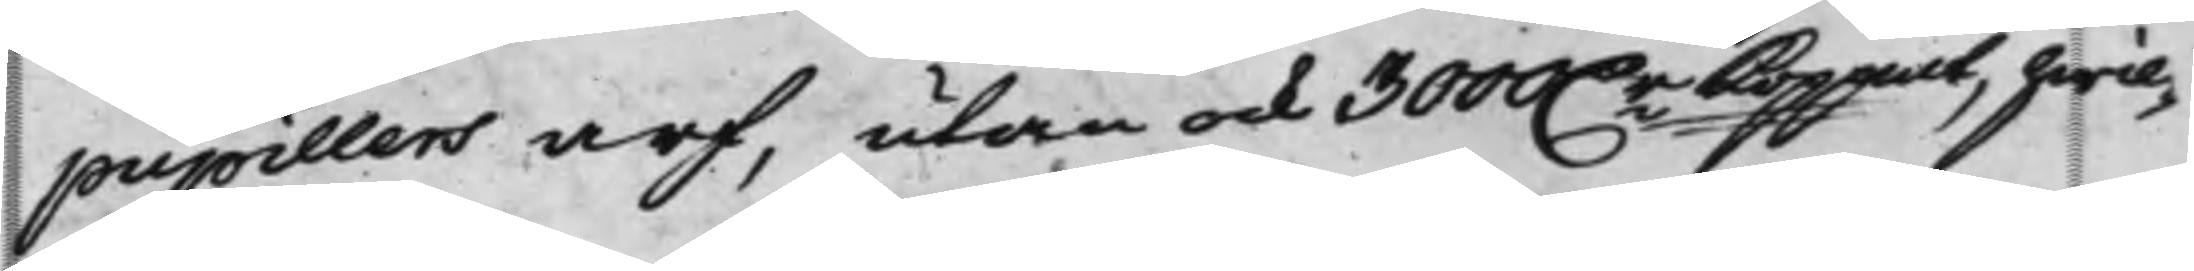pupillers arf, utan ock 300 D.r Koppmt, hwil¬
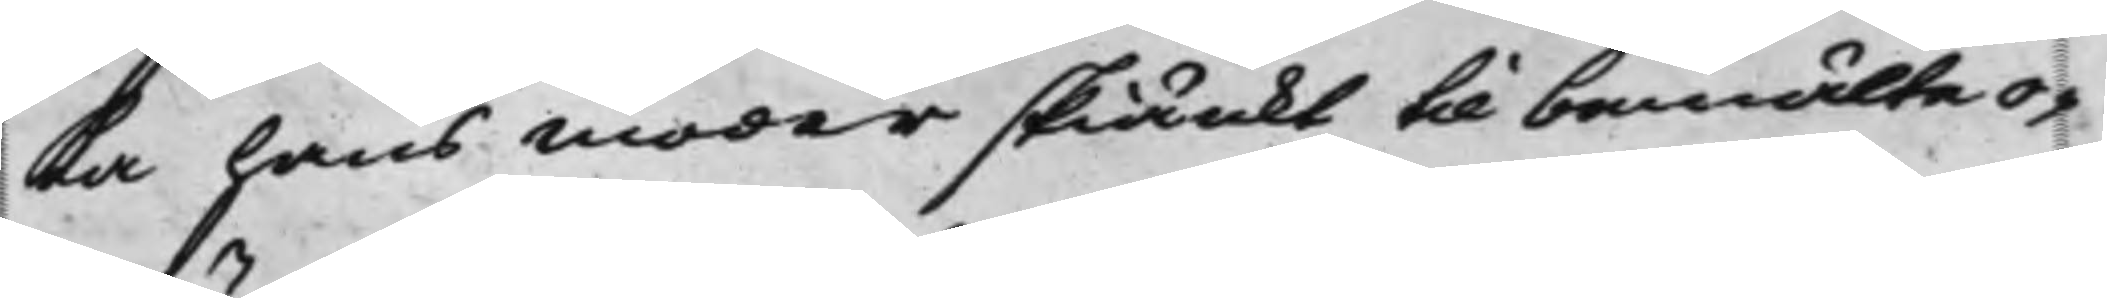ka hans moder skiänkt till bemälte o¬
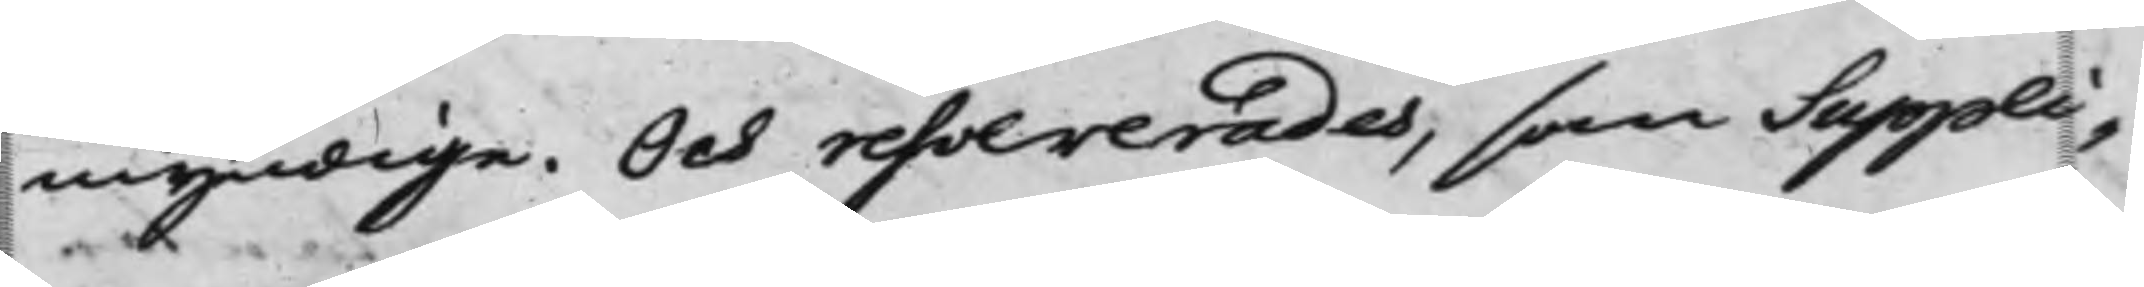myndige. Och resolverades, som Suppli¬
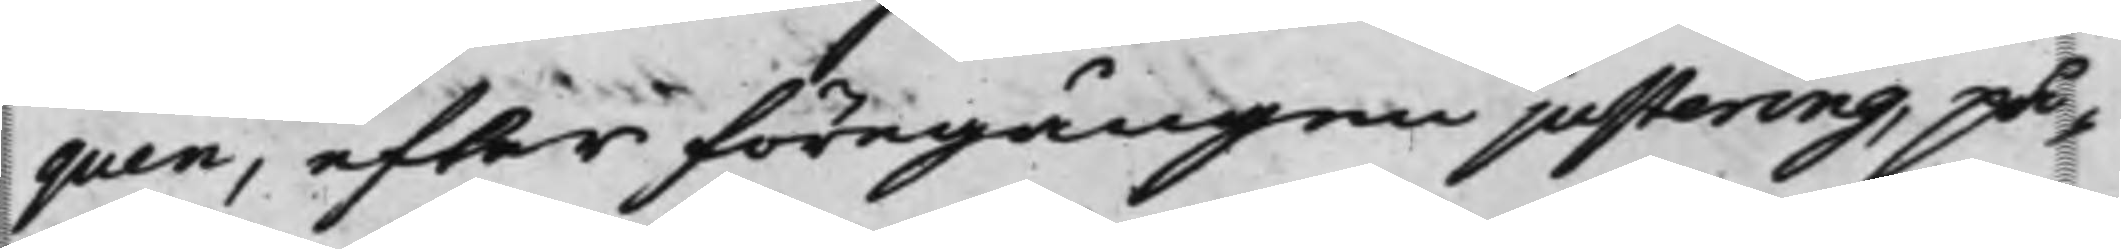quen, efter föregången justering, på¬
